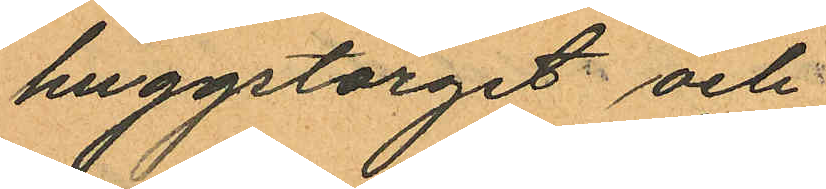huggstorget och
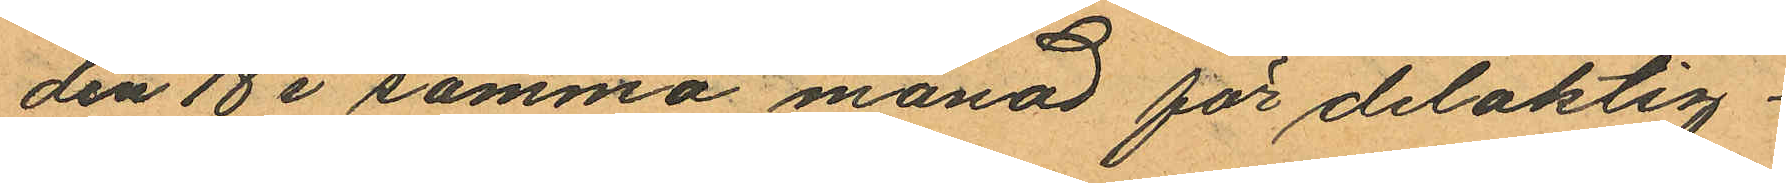den 18 i samma månad för delaktig¬
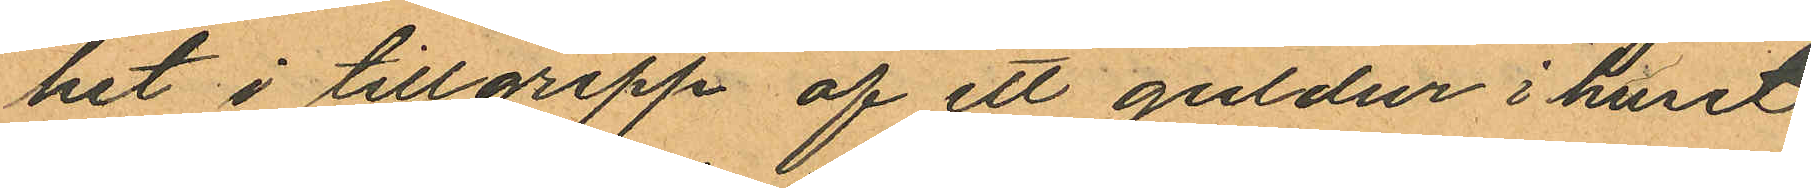het i tillgrepp af ett guldur i huset
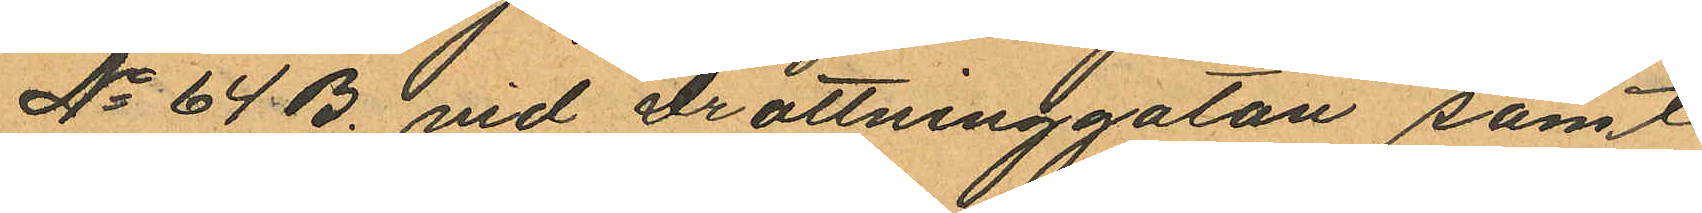No 64 B. vid Drottninggatan samt
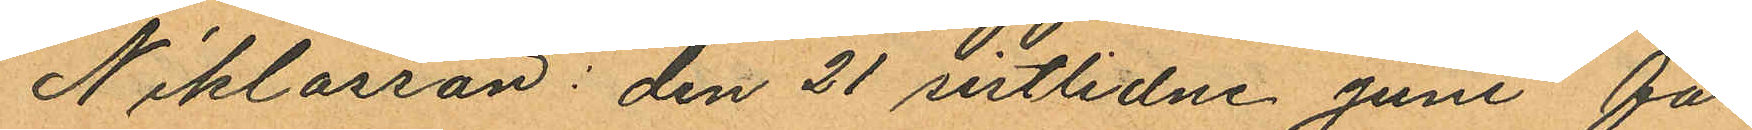Niklasson: den 21 sistlidne Juni för
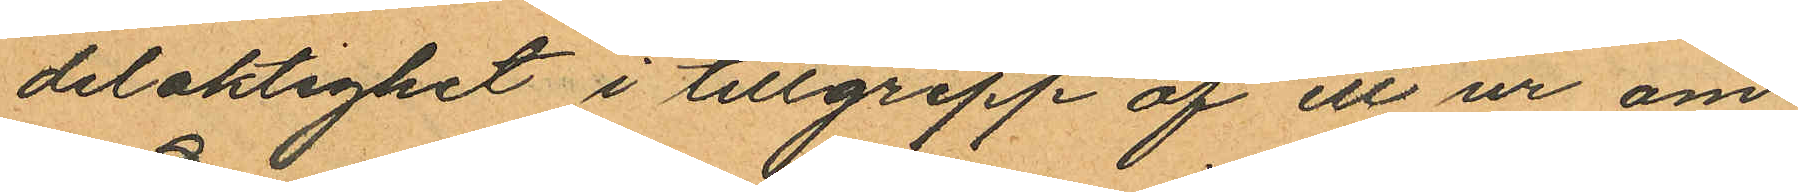delaktighet i tillgrepp af ett ur om
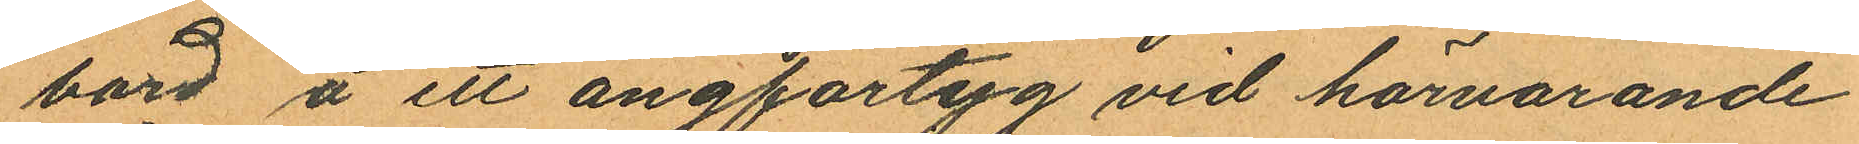bord å ett ångfartyg vid härvarande
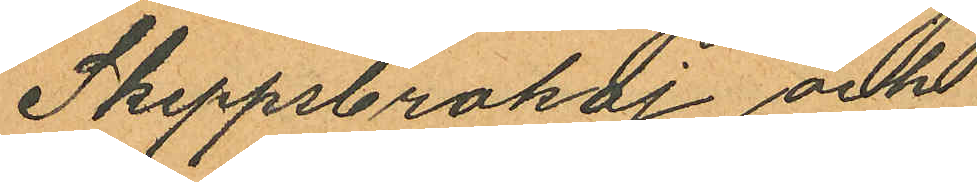Skeppsbrokaj och
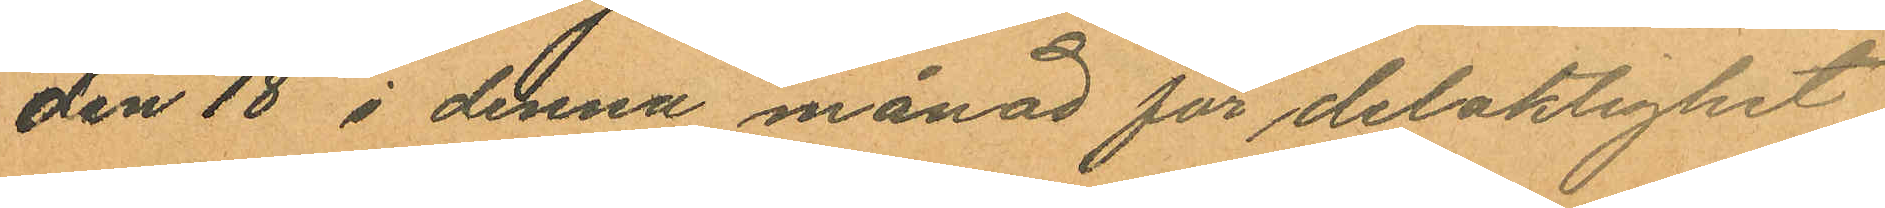den 18 i denna månad för delaktighet
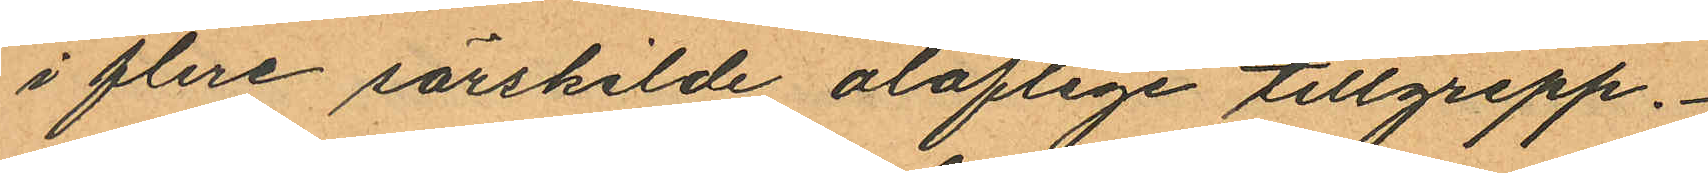i flere särskilde oloflige tillgrepp.
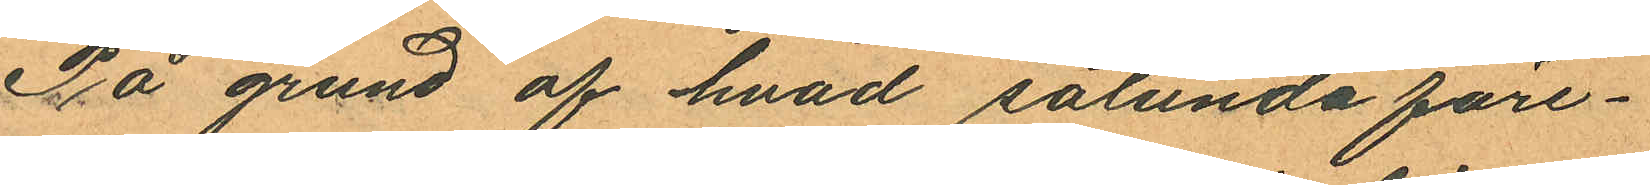På grund af hvad sålunda före¬
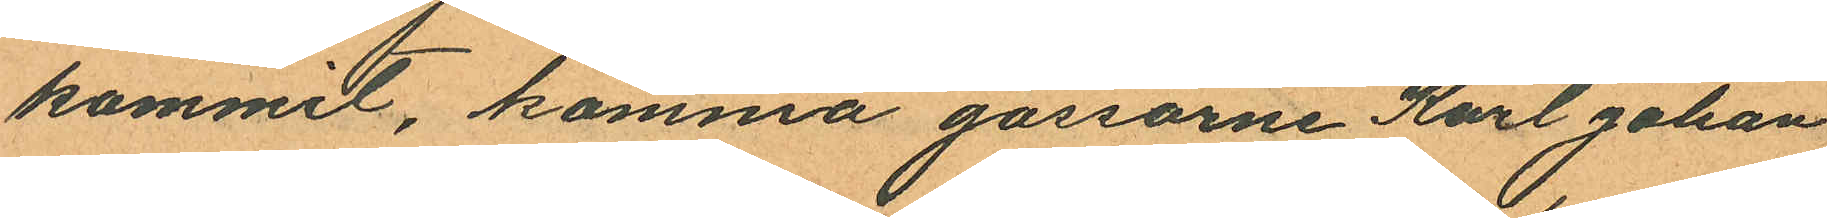kommit, komma gossarne Karl Johan
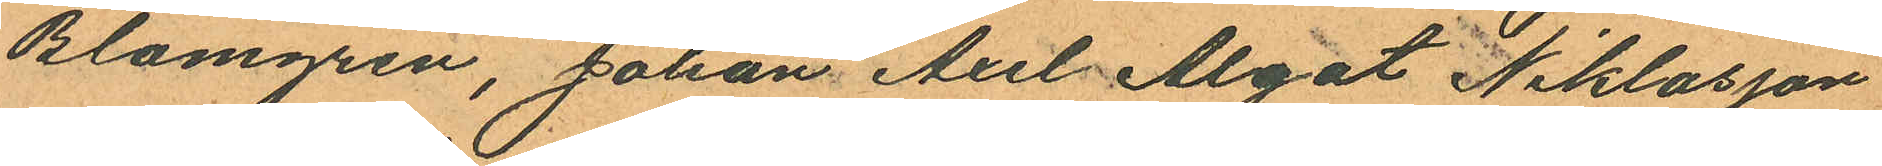Blomgren, Johan Axel Algot Niklasson
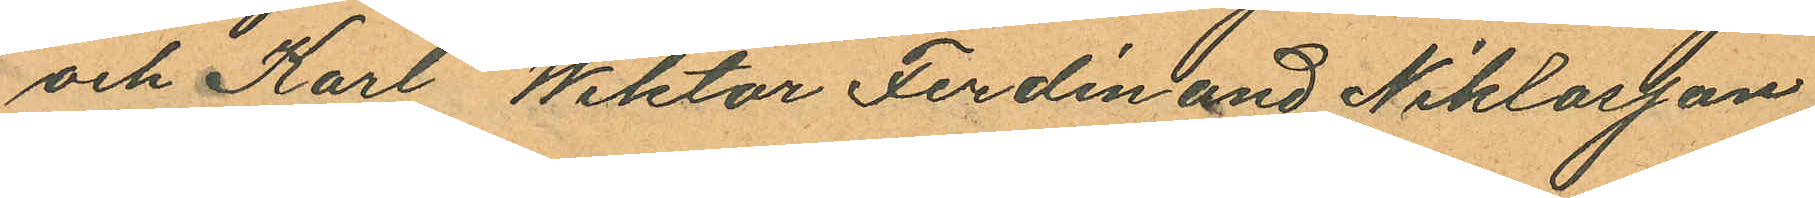och Karl Wiktor Ferdinand Niklasson
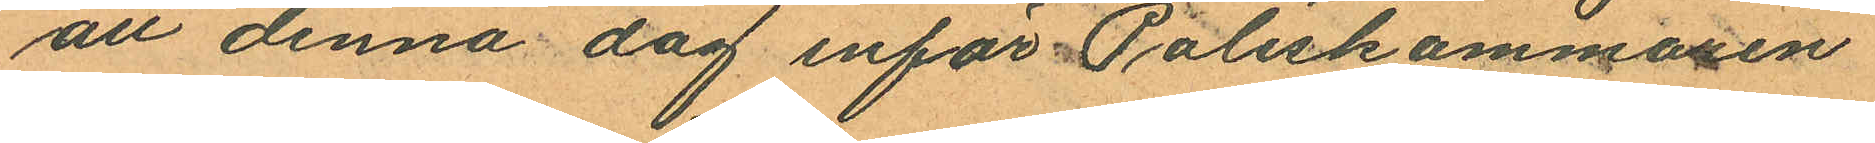att denna dag inför Poliskammaren
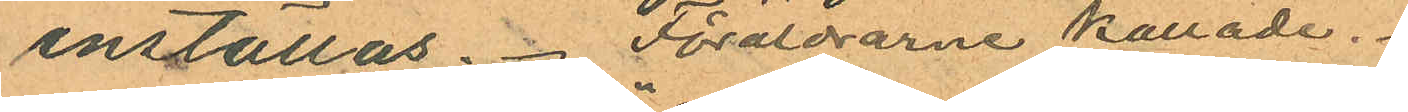inställas. Föräldrarne kallade.
